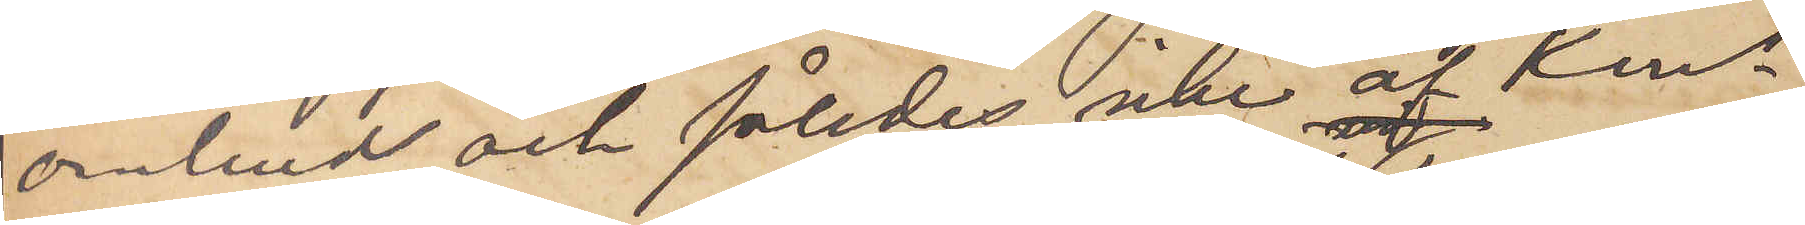ombud och således icke af Kons
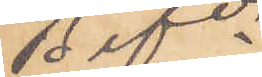Befde
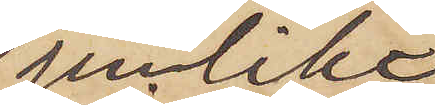jemlikt
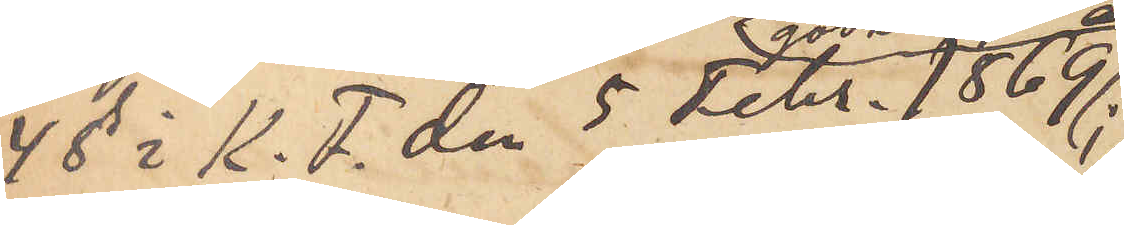4 § i K. F. den 5 Febr. 1869
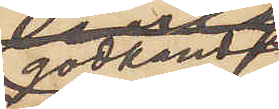godkänd
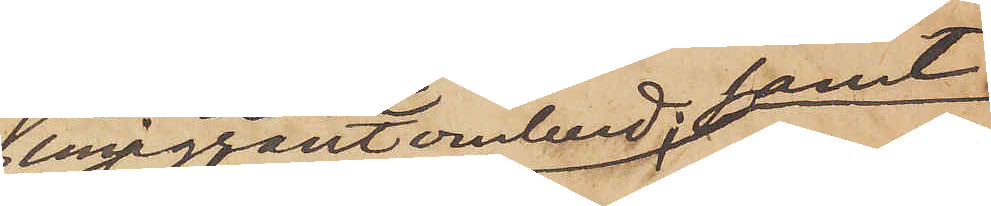emigrantombud; samt
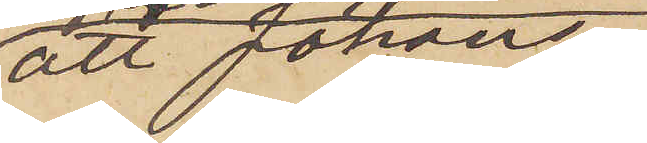att Johans¬
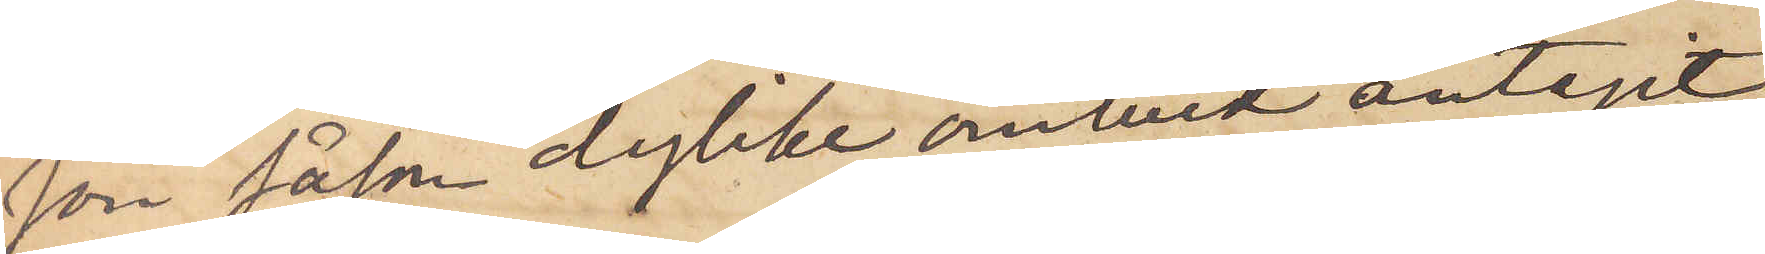son såsom dylike ombud antagit
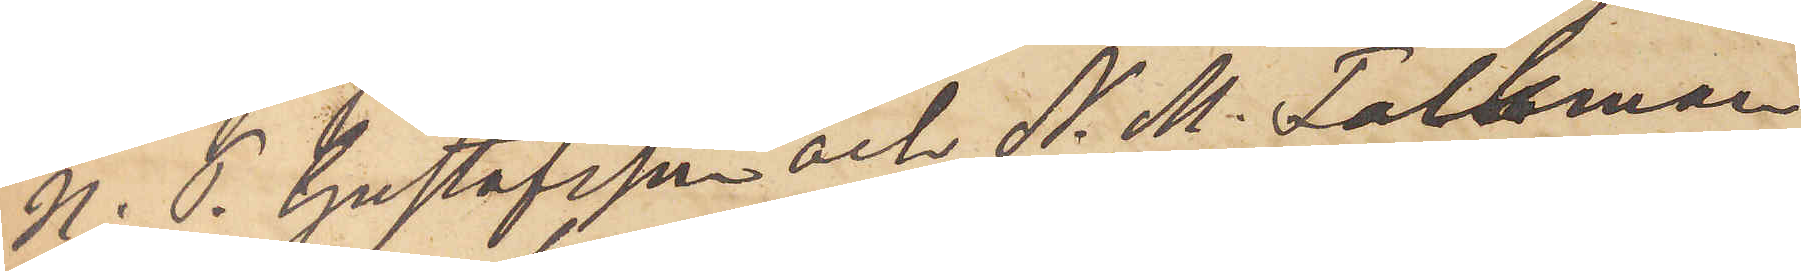N. P. Gustafsson och N. M. Falkman
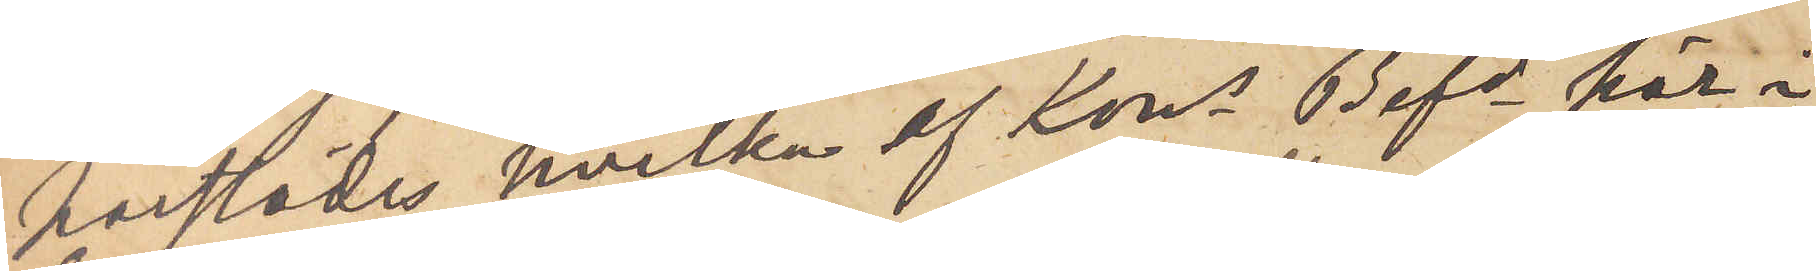härstädes, hvilka af Kons Befde här i
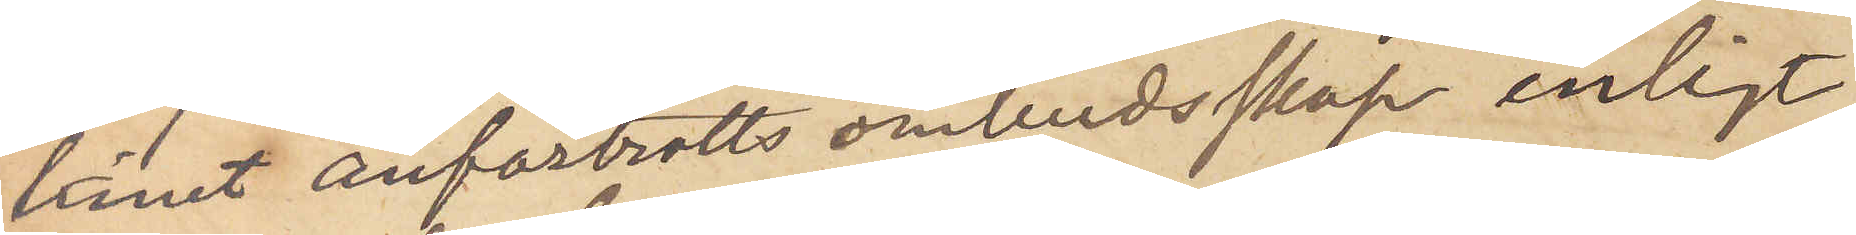länet anförtrotts ombudsskap enligt
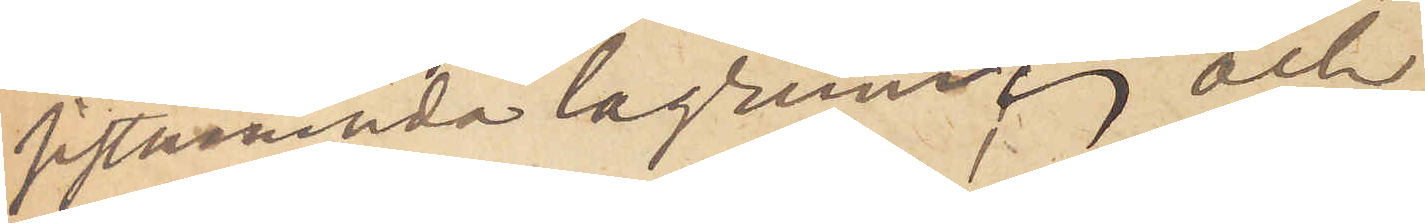sistnämnda lagrum; och
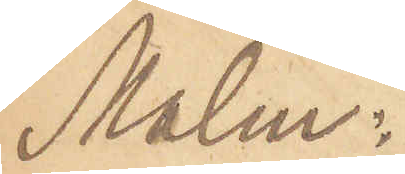Malm:
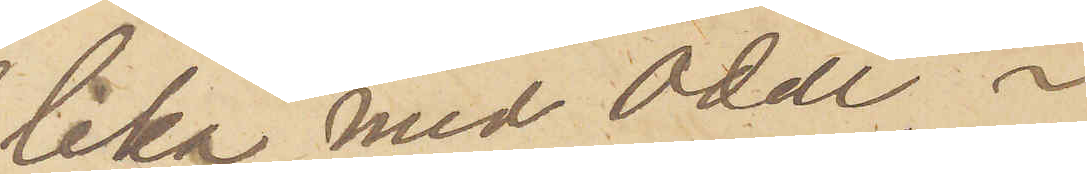lika med Odell, i
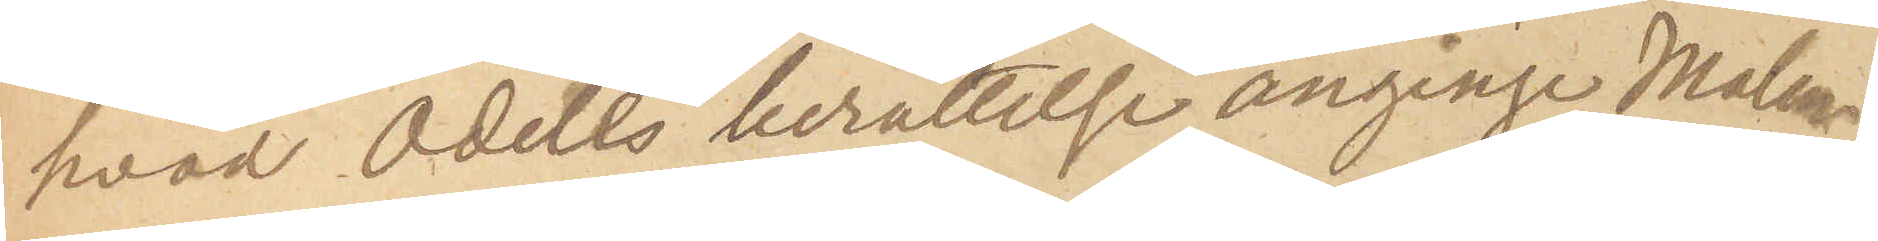hvad Odells berättelse anginge Malm.
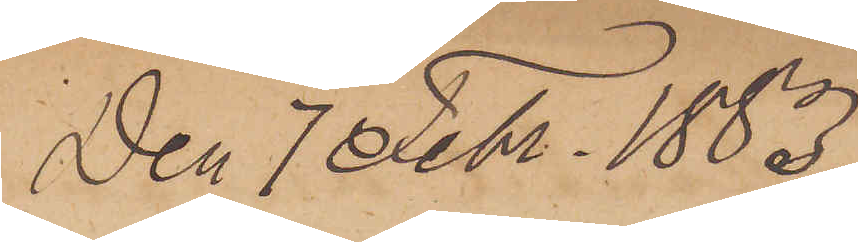den 7 Febr. 1883.
